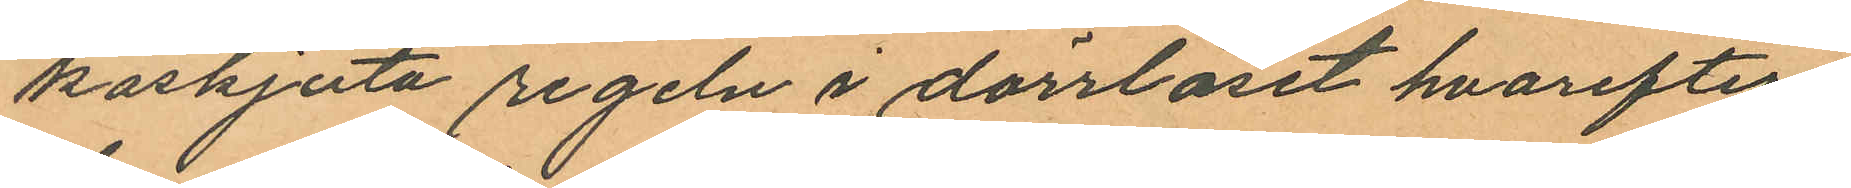kaskjuta regeln i dörrlåset hvarefter
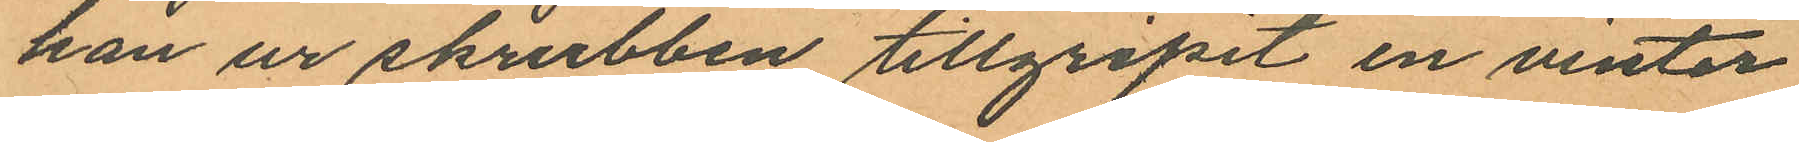han ur skrubben tillgripit en vinter
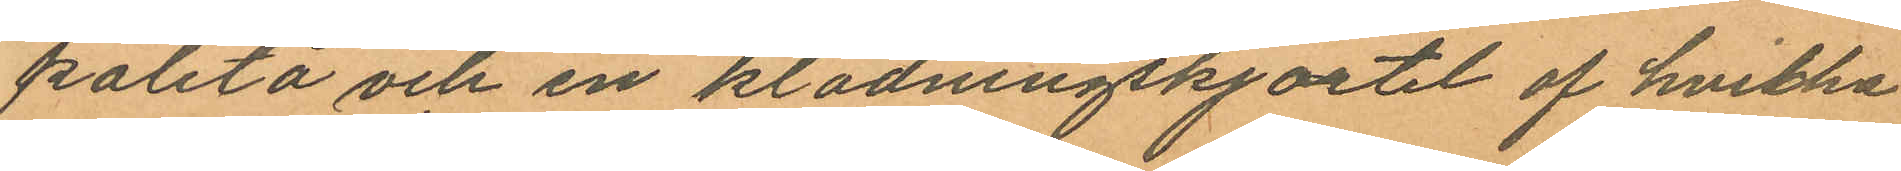paletå och en klädningskjortel af hvilka
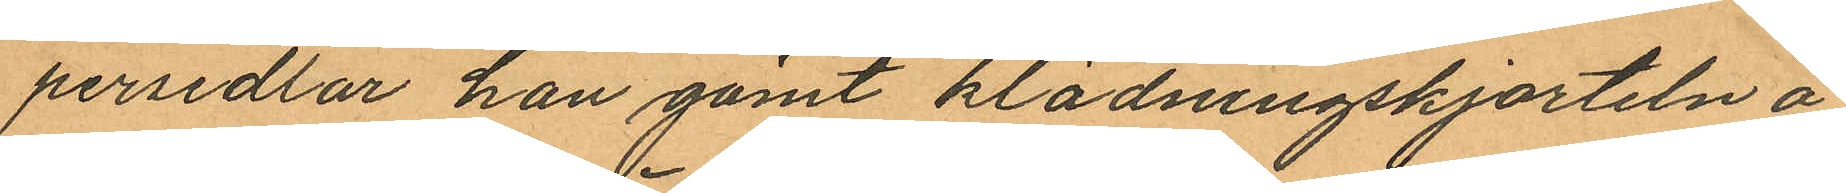persedlar han gömt klädningskjorteln å
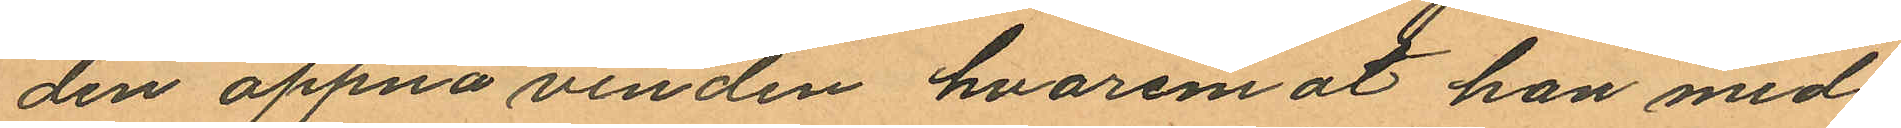den öppna vinden hvaremot han med¬
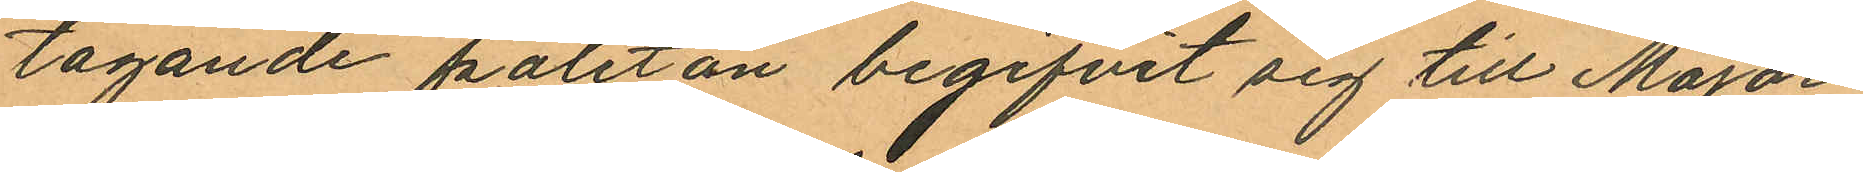tagande paletån begifvit sig till Major¬
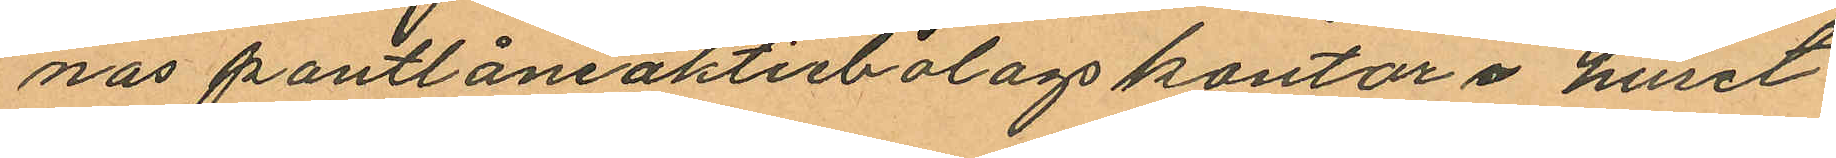nas pantlåneaktiebolags kontor i huset
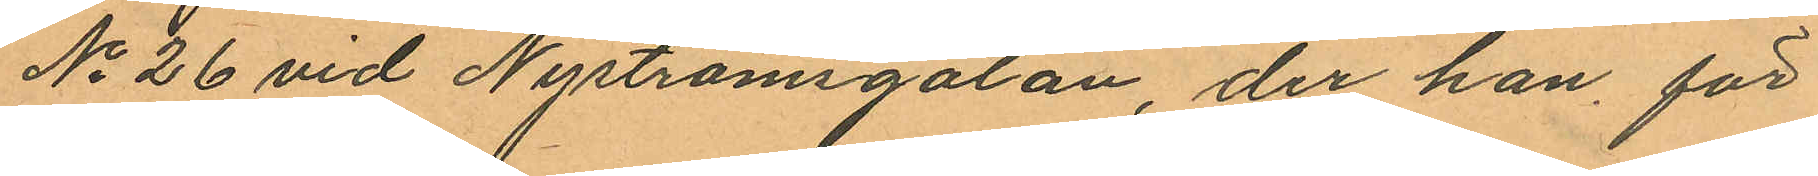No 26 vid Nyströmsgatan, der han för
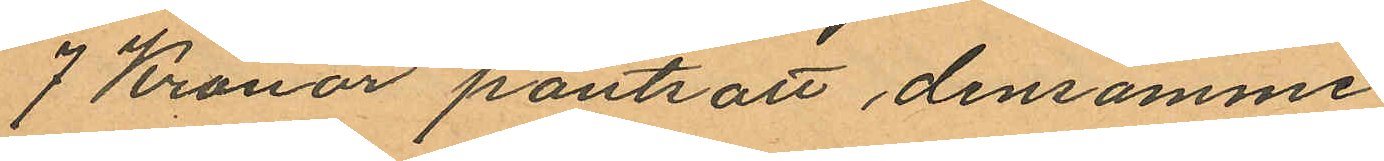7 Kronor pantsatt densamme;
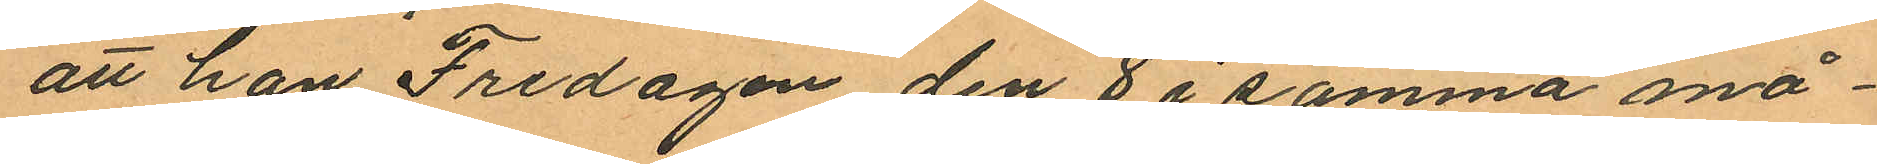att han Fredagen den 8 i samma må¬
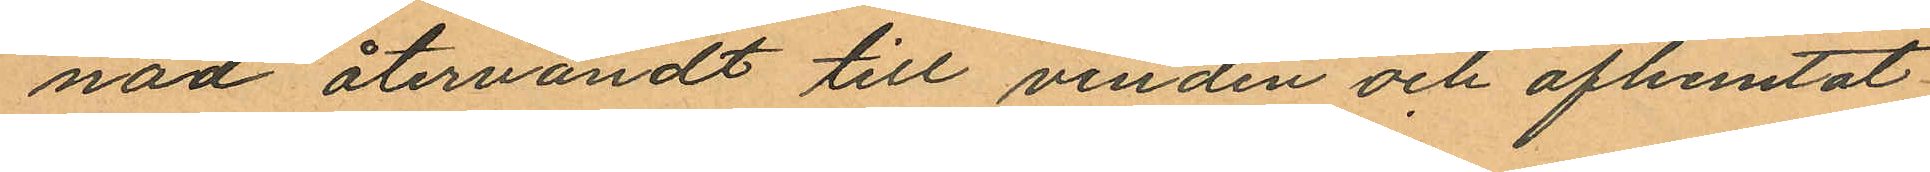nad återvändt till vinden och afhemtat
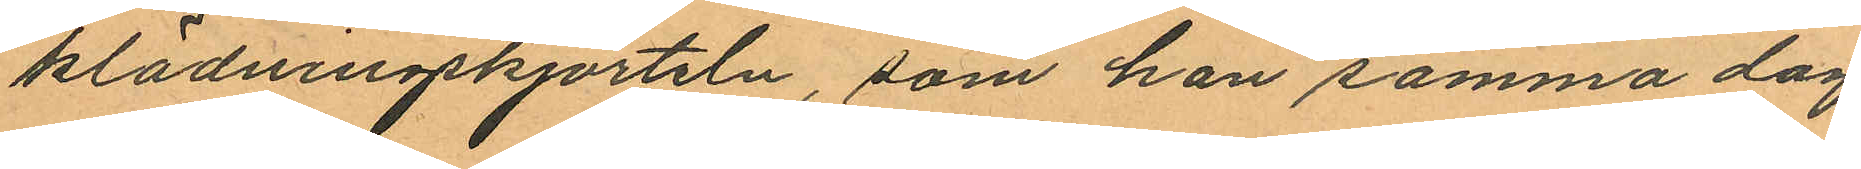klädningskjorteln, som han samma dag
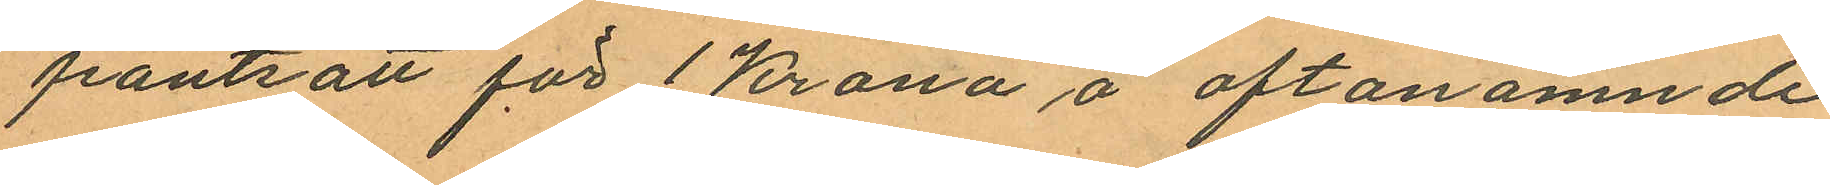pantsatt för 1 Krona å oftanämnde
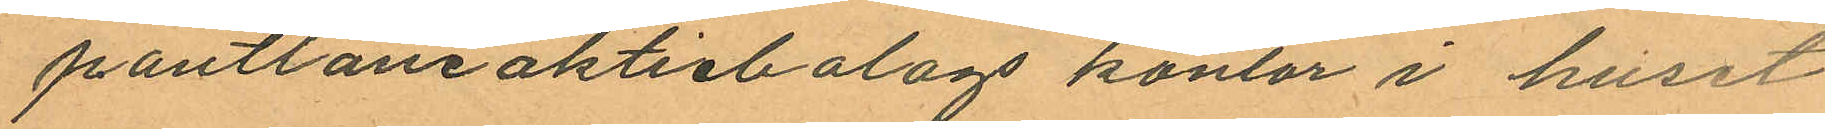pantlåneaktiebolags kontor i huset
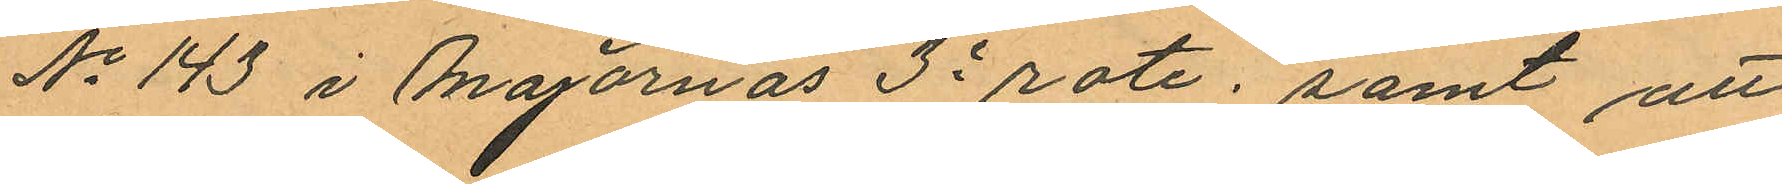No 143 i Majornas 3e rote; samt att
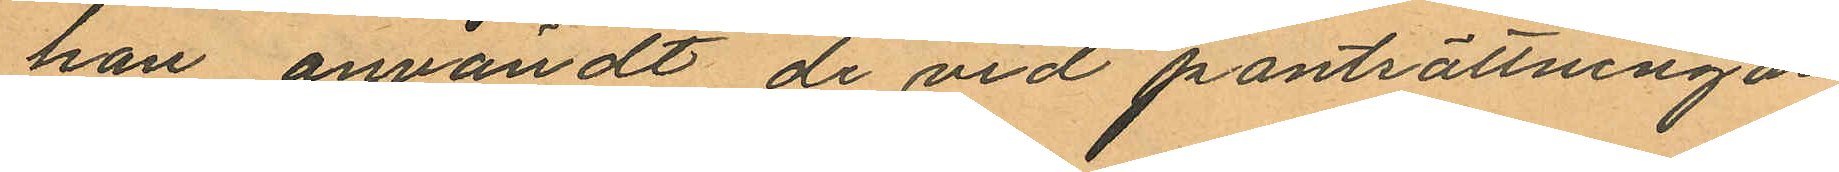han användt de vid pantsättningar
